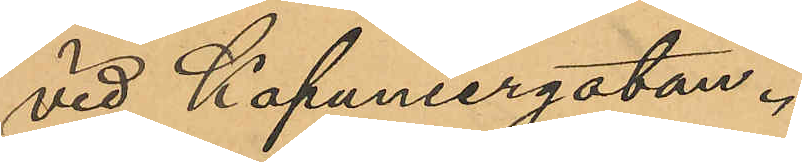vid Kapuniergatan.
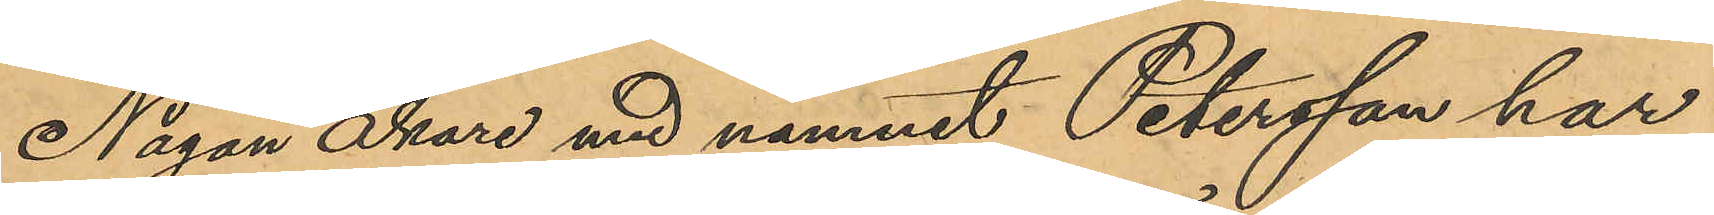Någon åkare med namnet Petersson har
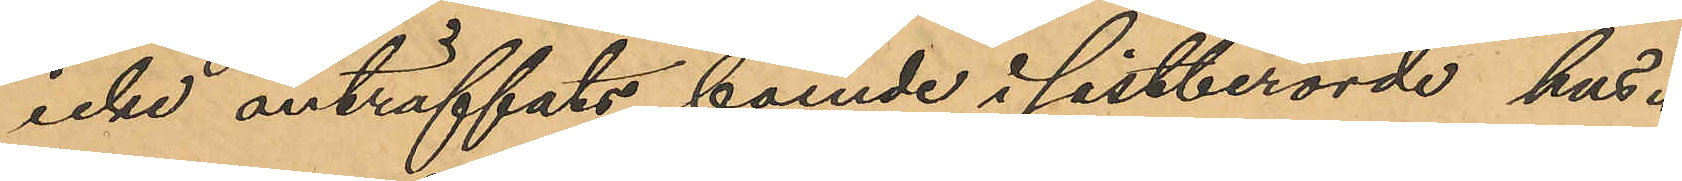icke anträffats boende i sistberörde hus.
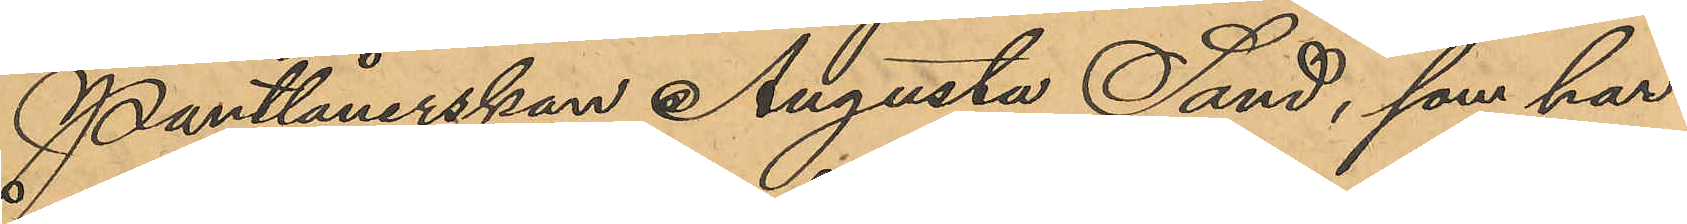Pantlånerskan Augusta Sand, som har
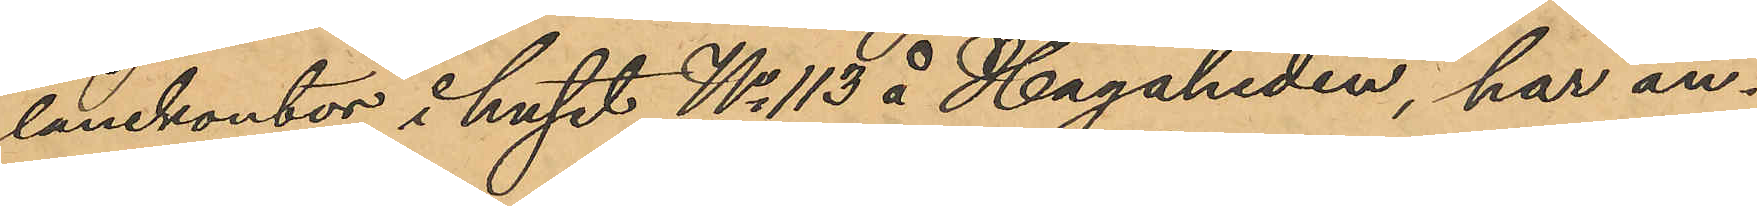lånekontor i huset No 113 å Hagaheden, har an¬
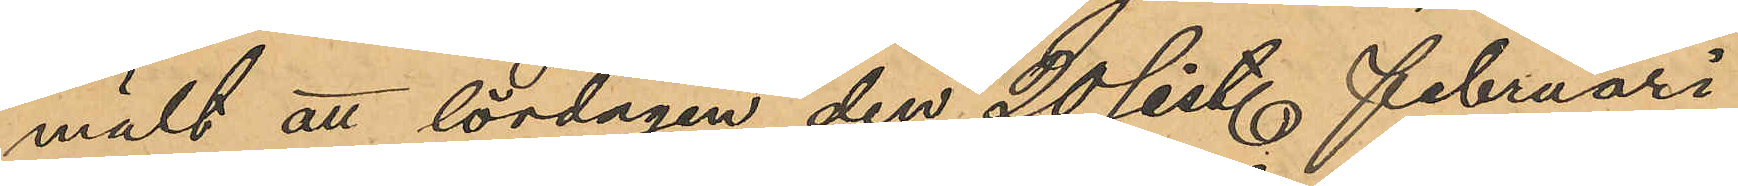mält att lördagen den 20 sist. Februari
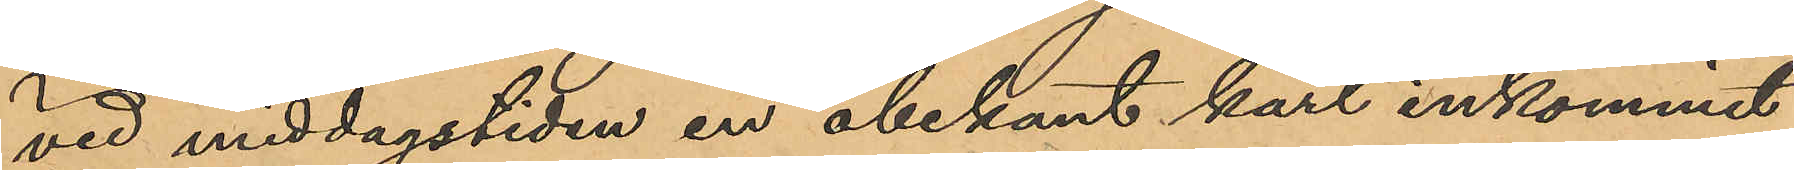vid middagstiden en obekant karl inkommit
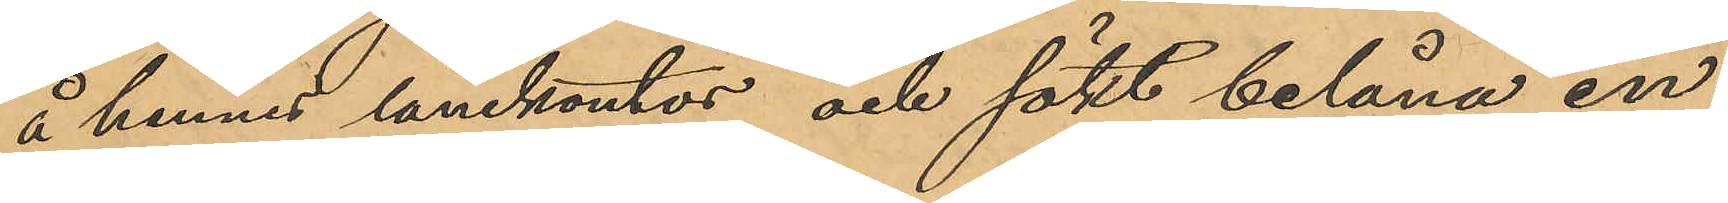å hennes lånekontor och sökt belåna en
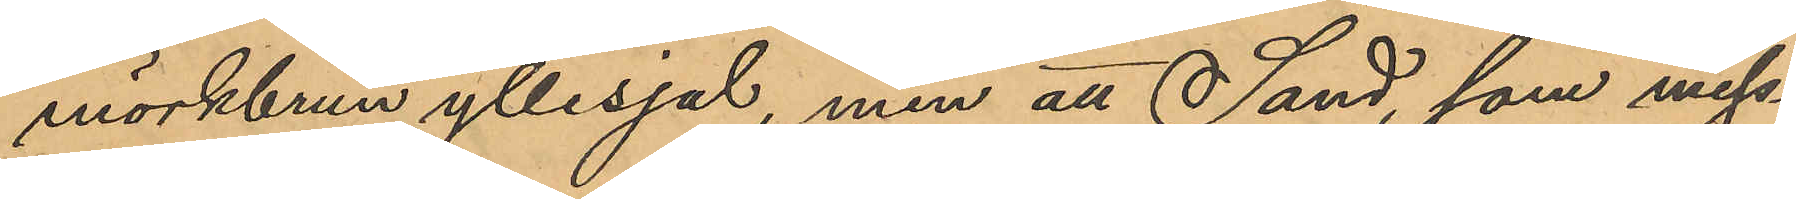mörkbrun yllesjal, men att Sand, som miss¬
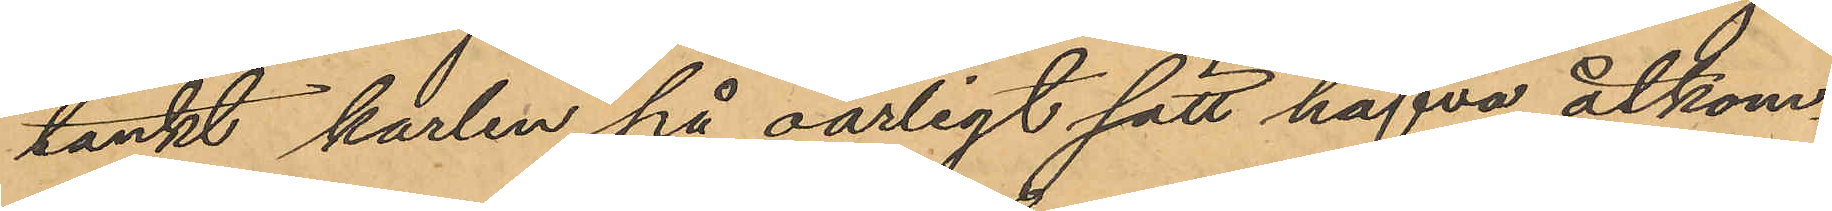tänkt karlen på oärligt sätt hafva åtkom¬
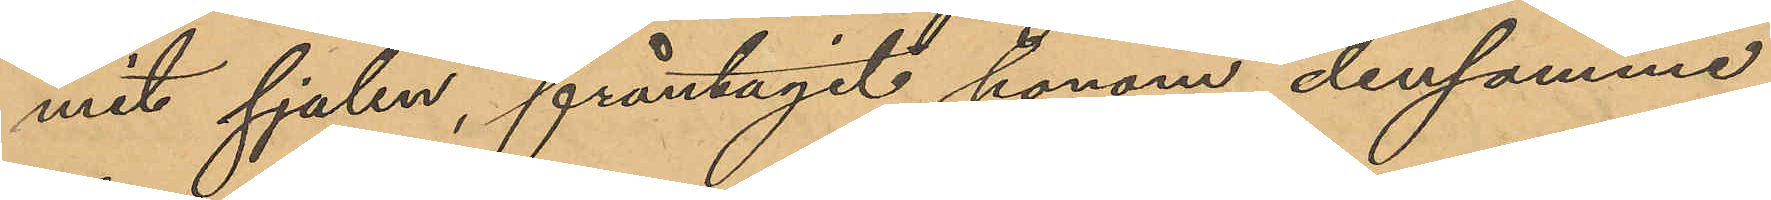mit sjalen, fråntagit honom densamme,
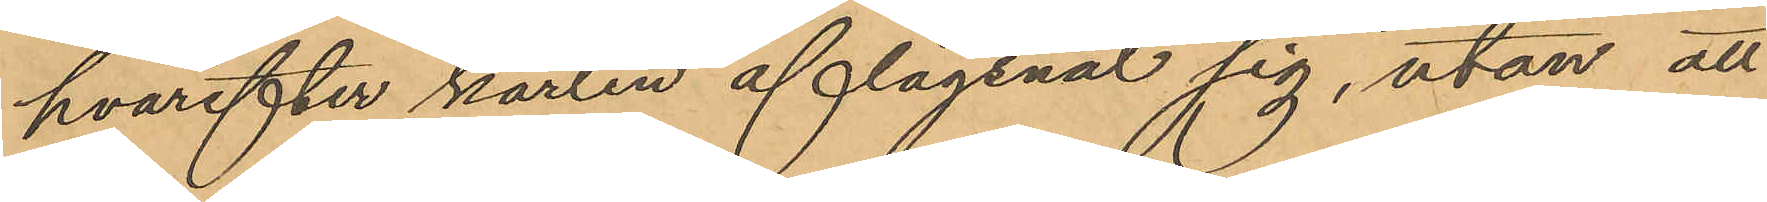hvarefter karlen aflägsnat sig, utan att
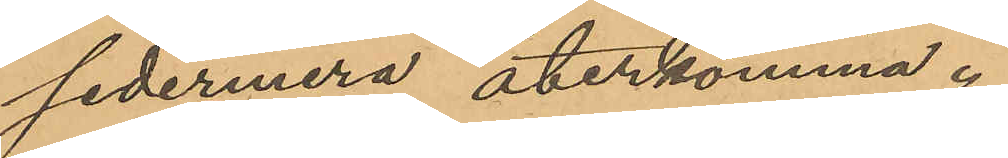sedermera återkomma.
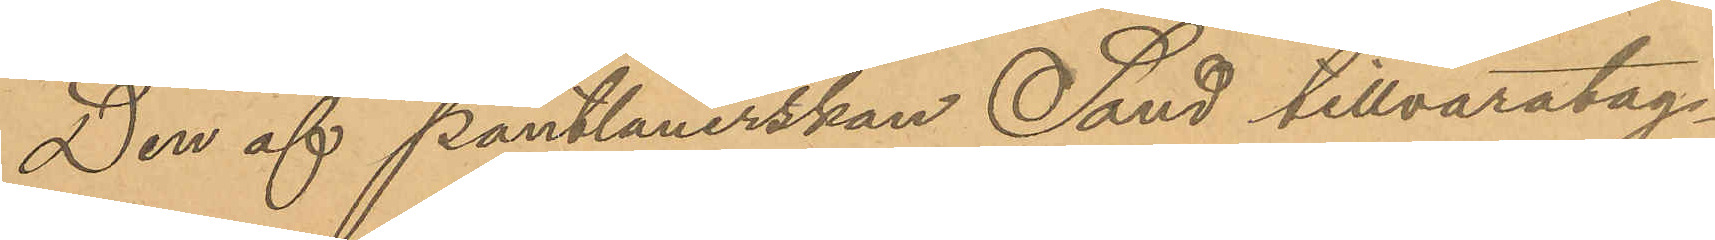Den af Pantlånerskan Sand tillvaratag¬
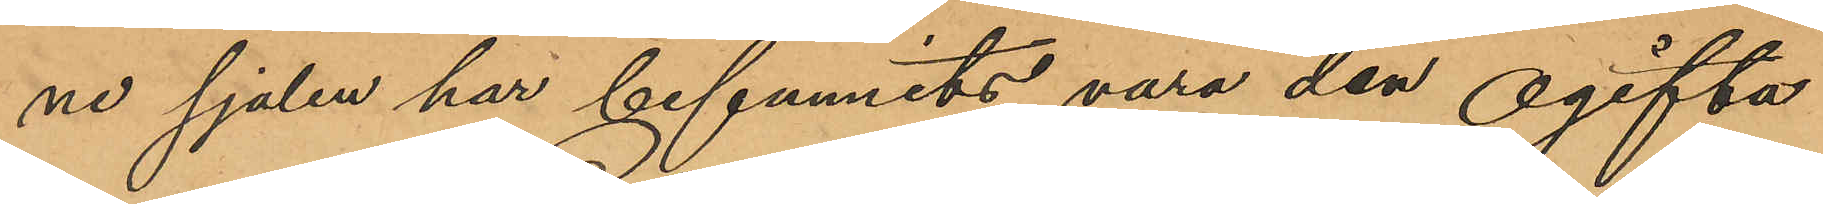ne sjalen har befunnits vara den ogifta
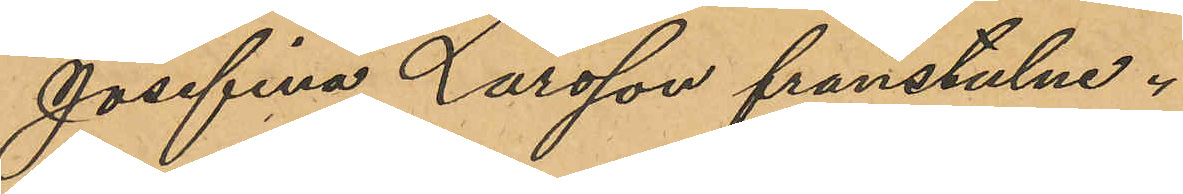Josefina Larsson frånstulne.
